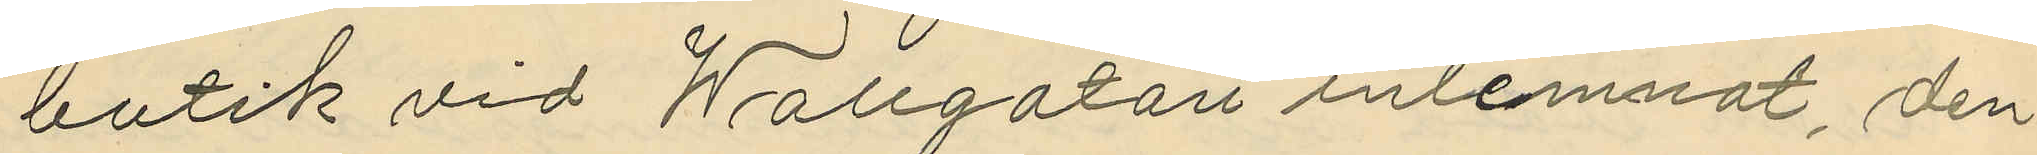butik vid Wallgatan inlemnat, den
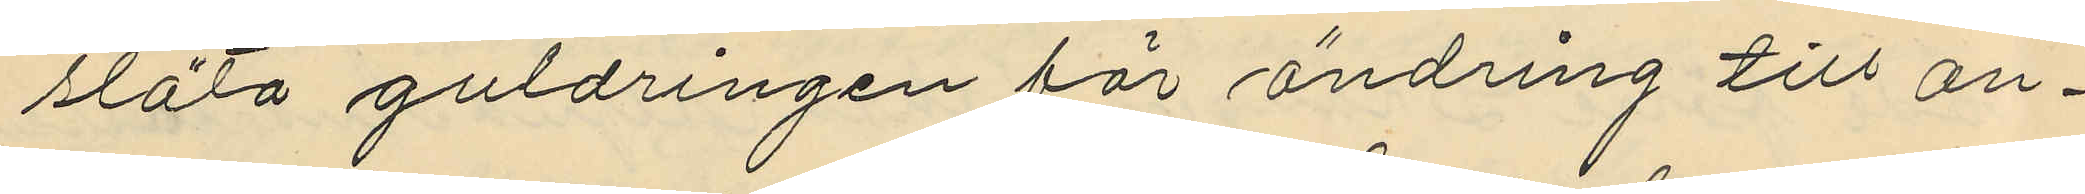släta guldringen för ändring till an¬
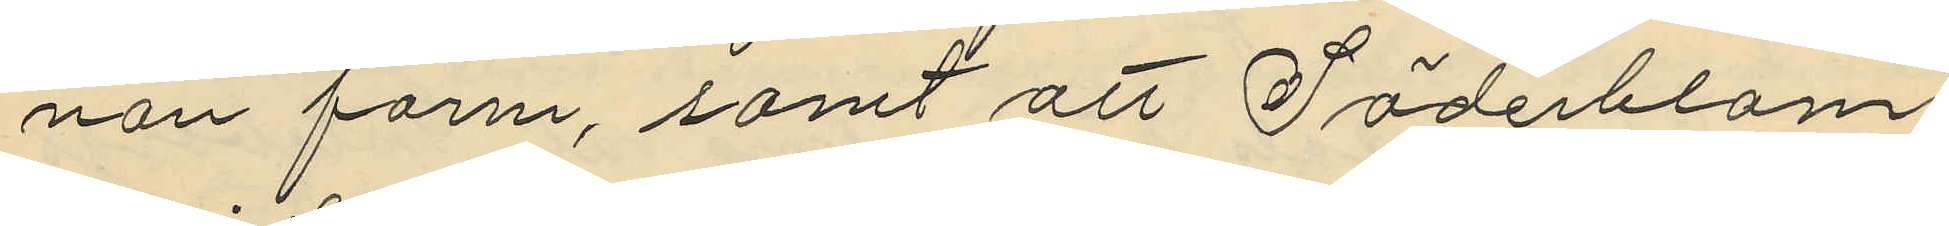nan form, samt att Söderblom
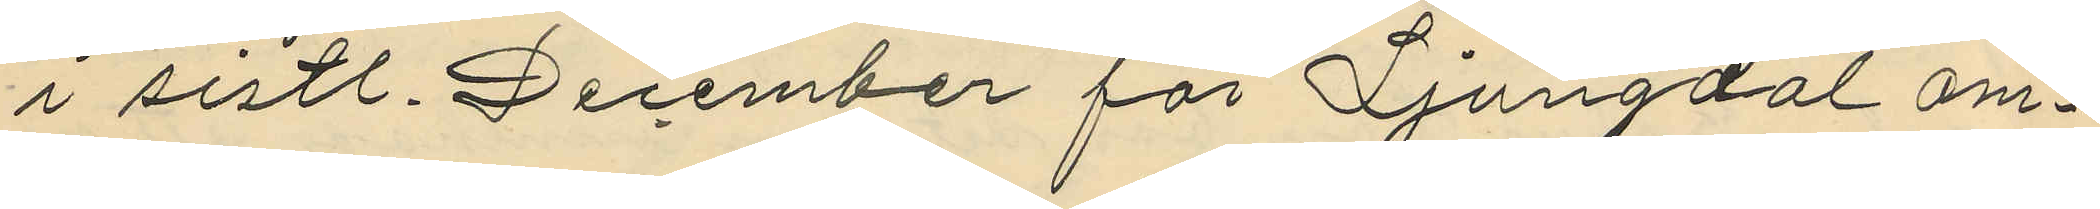i sistl. December för Ljungdal om¬
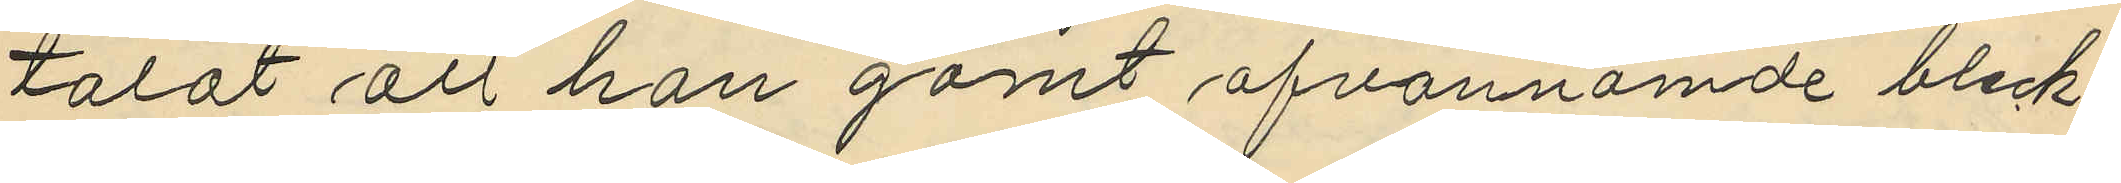talat att han gömt ofvannämde bleck¬
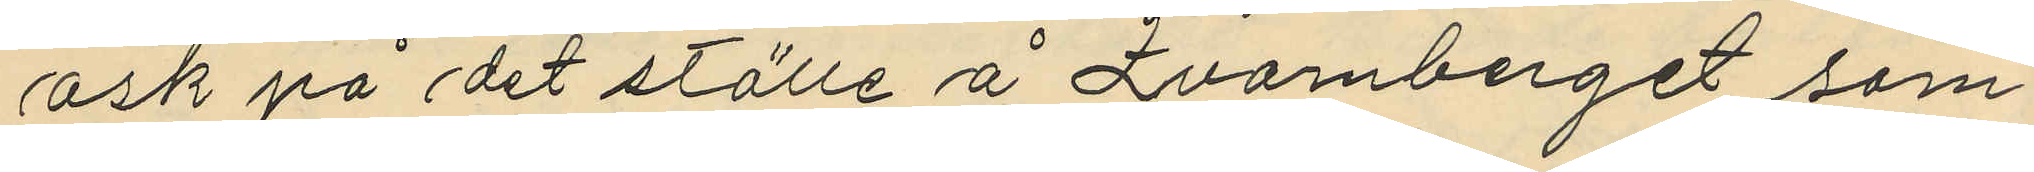ask på det ställe å Qvarnberget som
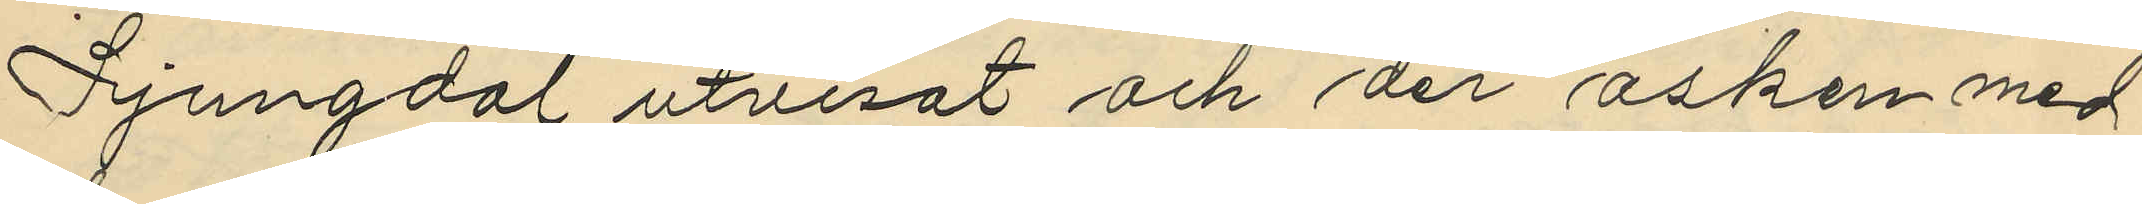Ljungdal utvisat och den asken med
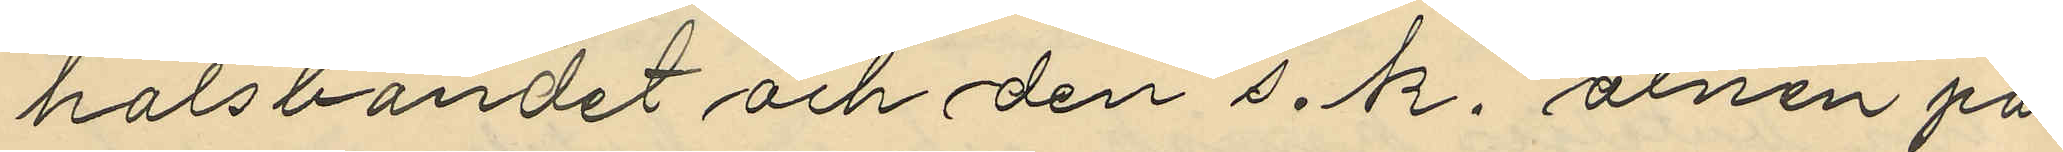halsbandet och den s. k. alnen på
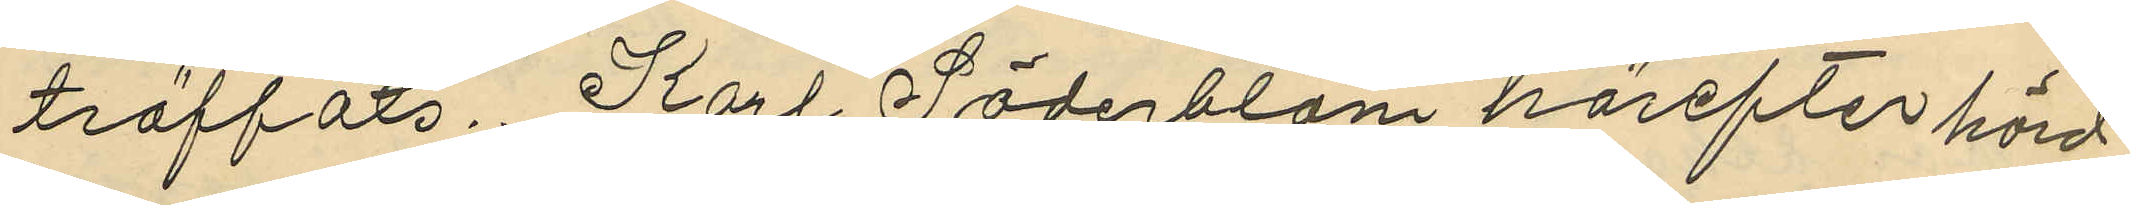träffats. Karl Söderblom härefter hörd
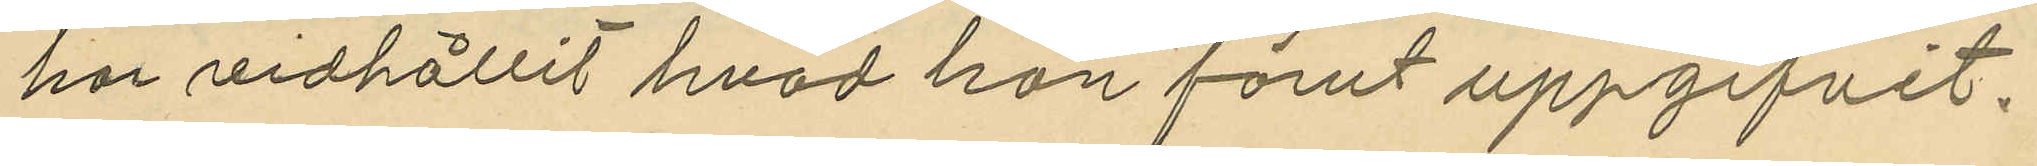har vidhållit hvad han förut uppgifvit.
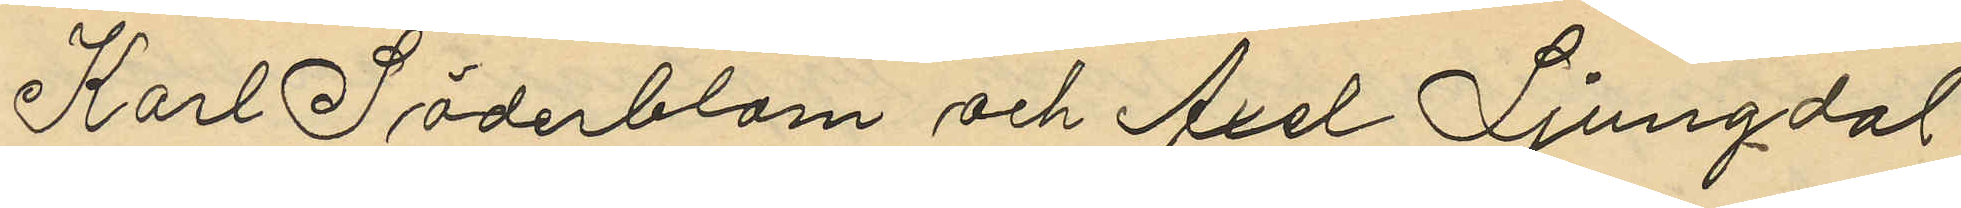Karl Söderblom och Axel Ljungdal
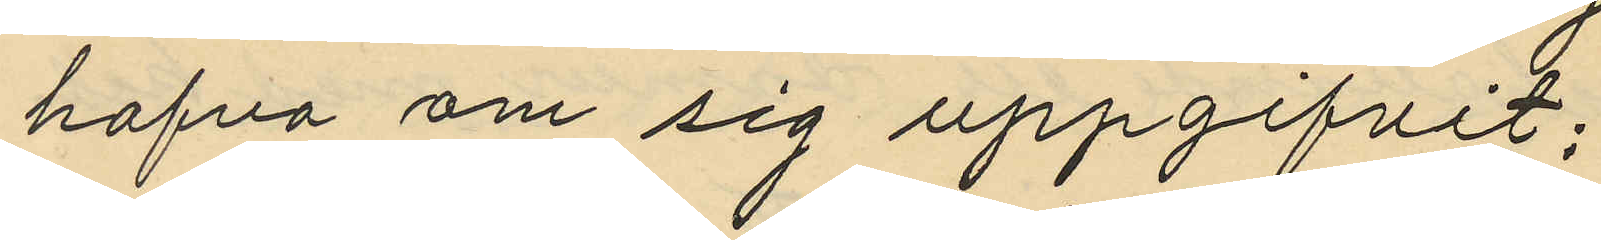hafva om sig uppgifvit;
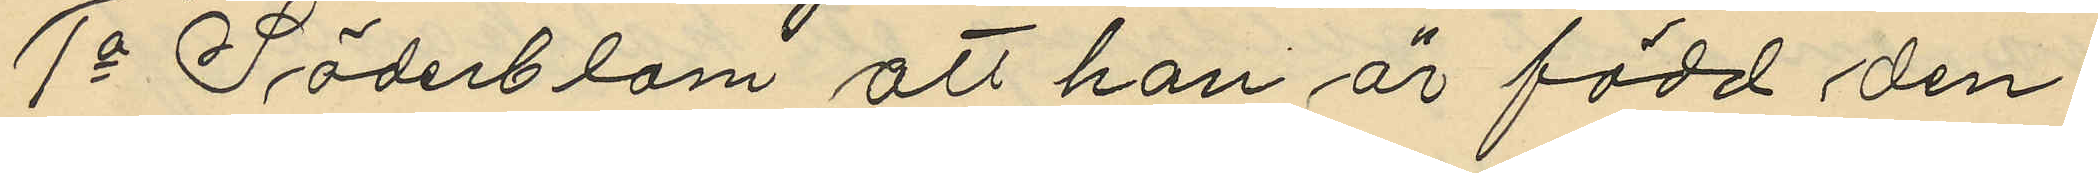1o Söderblom att han är född den
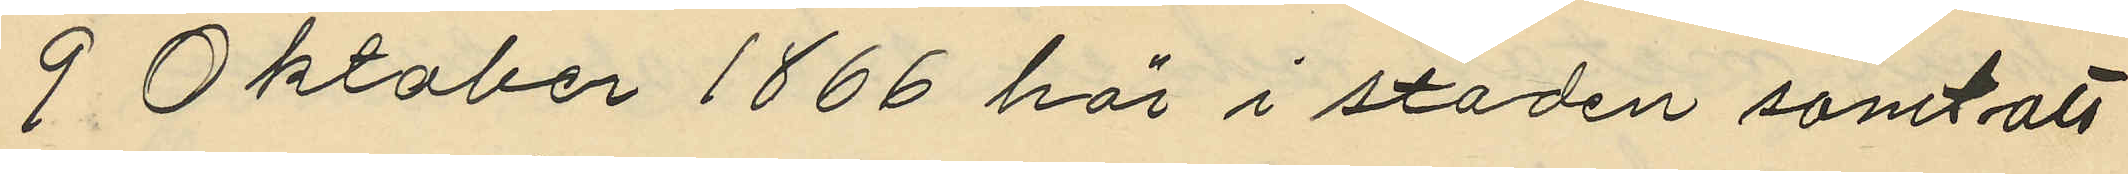9 Oktober 1866 här i staden samt att
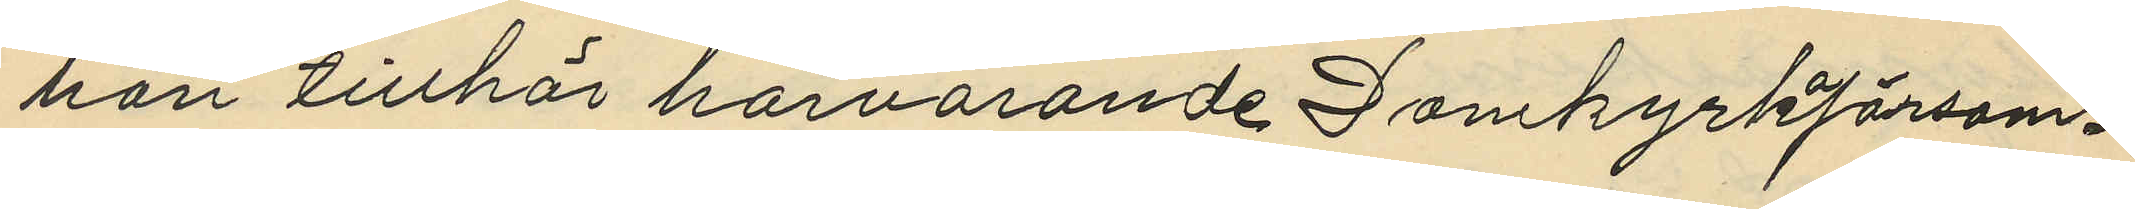han tillhör härvarande Domkyrkförsam¬
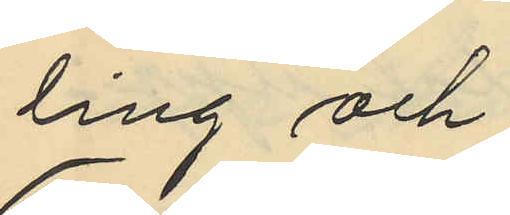ling och
